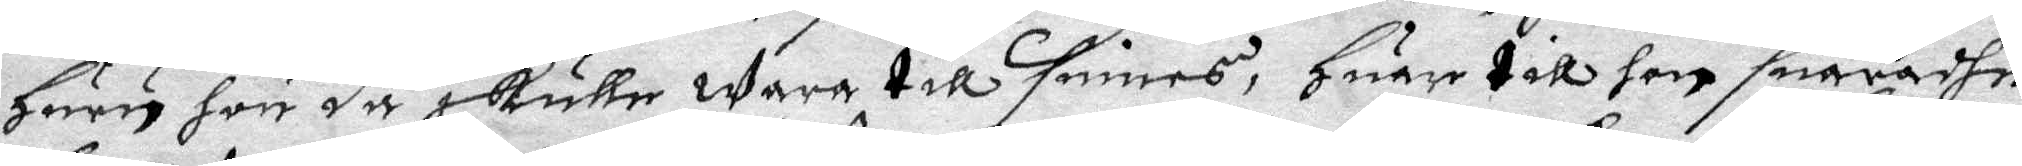huru hon då skulle wara till sinnes, huar till hon suaradhe
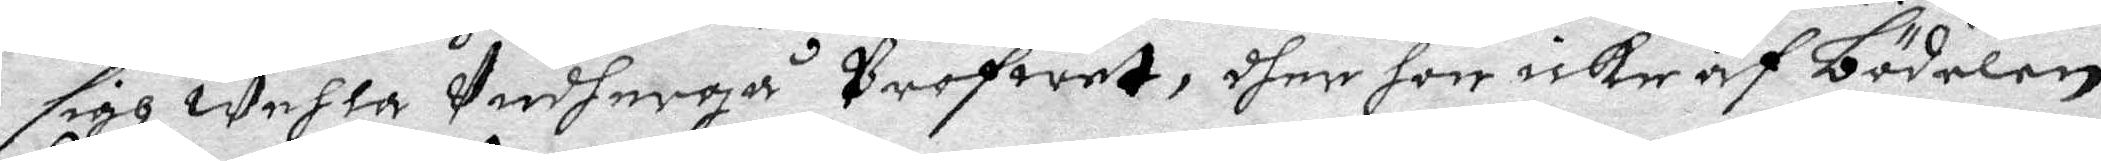sigh wehla undergå profwet, dher hon icke af bödelen
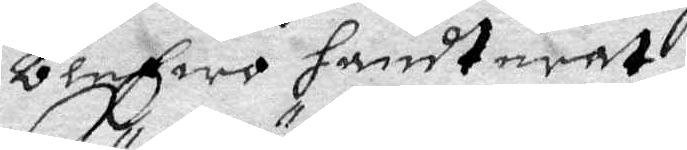blefwo handterat:
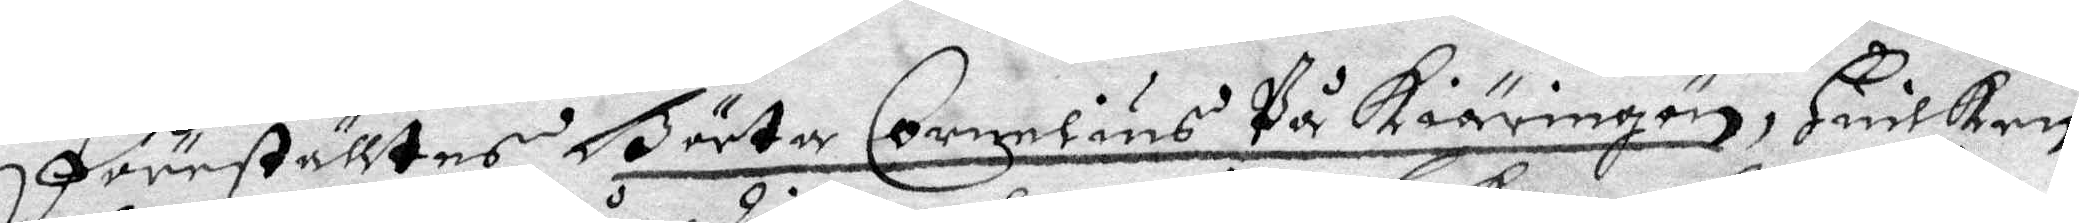Föreställtes Börta Cornelius på kiäringön, huilken
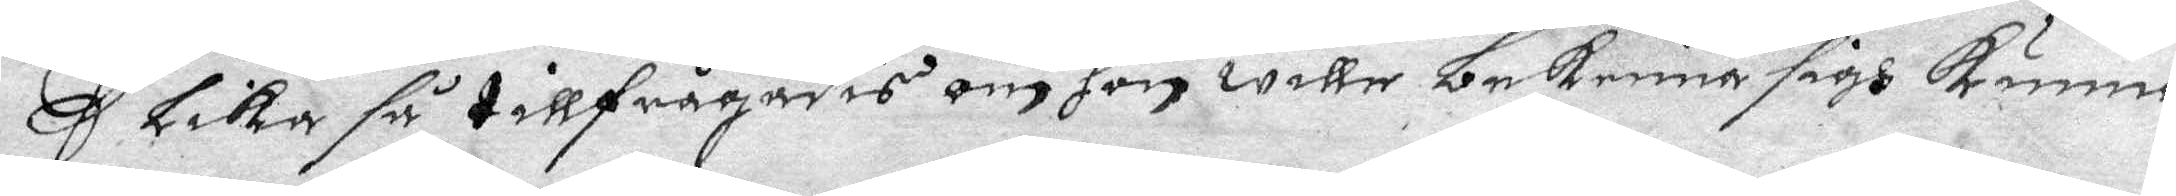lika så tillfrågades om hon wille bekenna sigh kunna
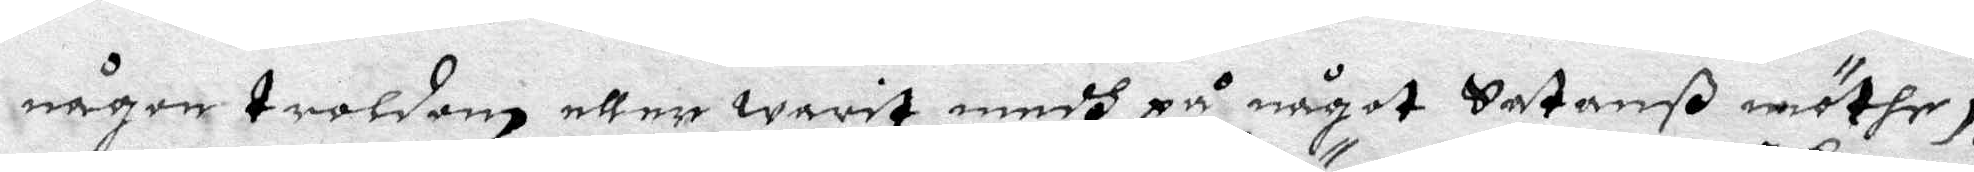någon troldom eller warit medh på något Satanß möthe,
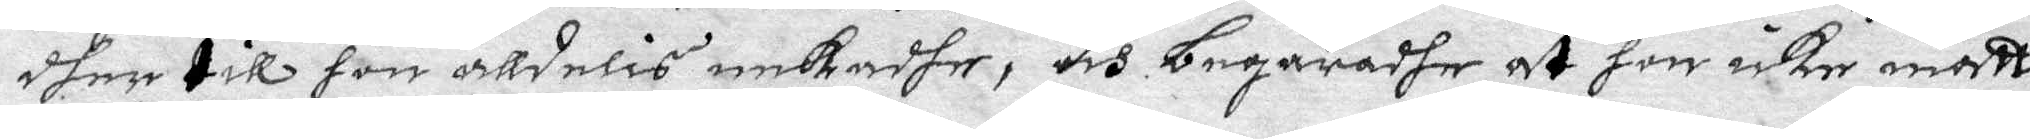dher till hon alldelis nekadhe, och begäradher at hon icke måtte
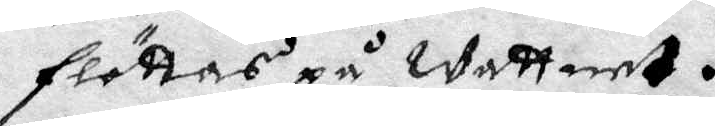flöttas på wattnet.
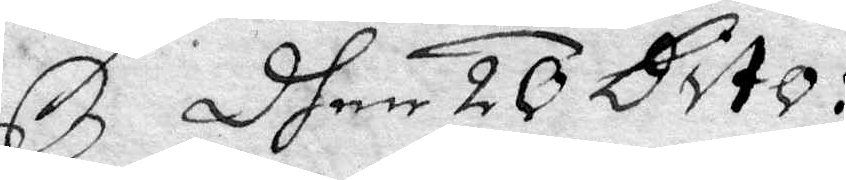Dhen 20 Dito:
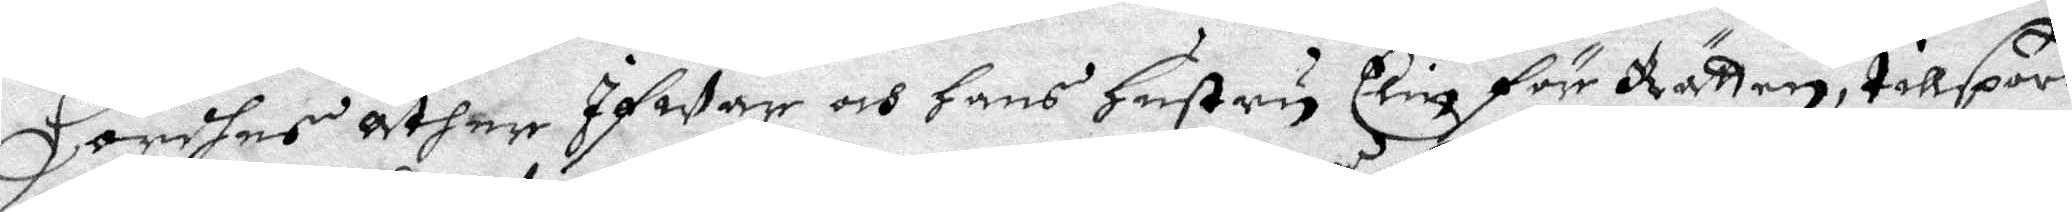Hördhes åther Ifwar och hans Hustru Elin för Rätten, tillspord
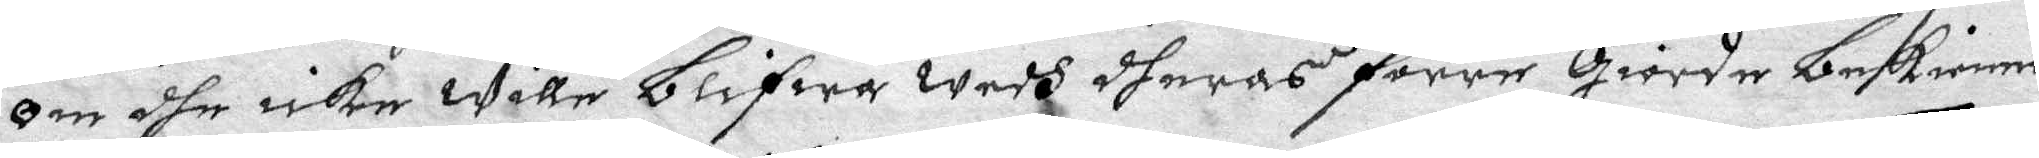om dhe icke wille blifwa wedh dheras förre Giorde bekiennel¬
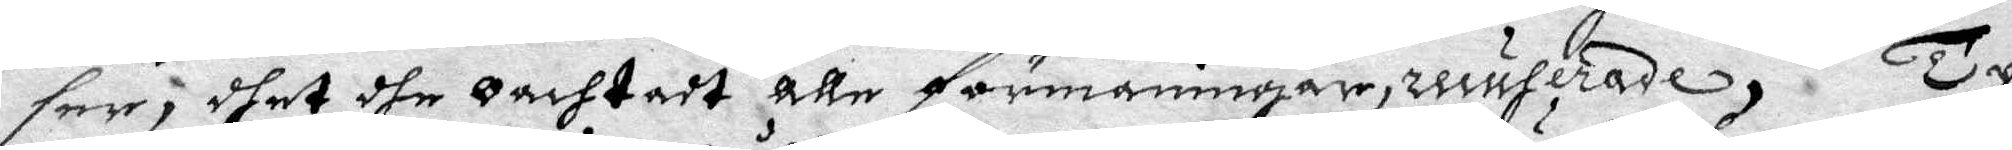ser, dhet dhe oachtadt alle förmaningar, recuferade, Ty
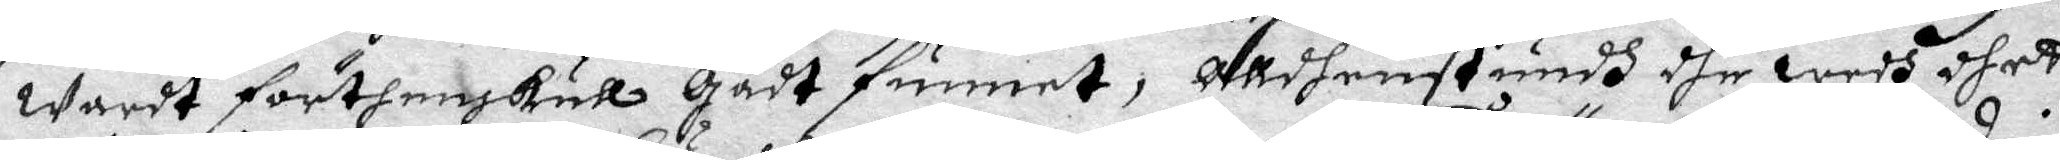waardt förthenskull Gådt funnet, alldenstundh dhe wedh dhett
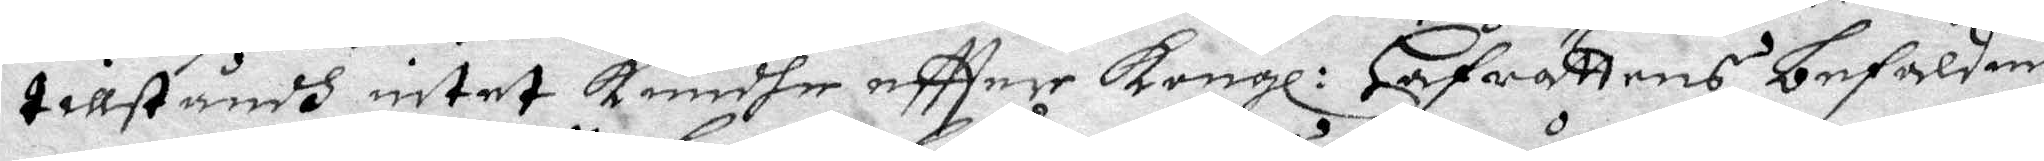tillståndh intet kundhe eftter Kongl: Hofrättens befaldning
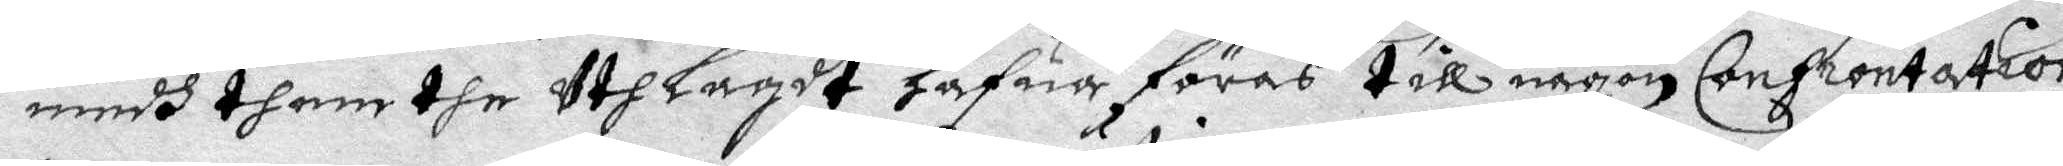medh thenne dhe uthlagdt hafuer föras till någon Confrontation
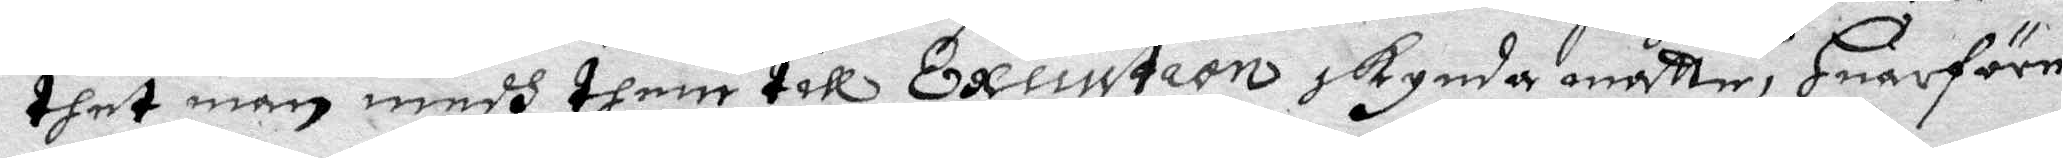thet man medh them till Execution skynda måtte, Huarföre
